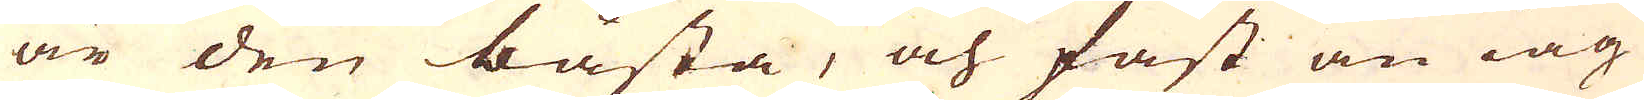är den bästa, och fast än iag
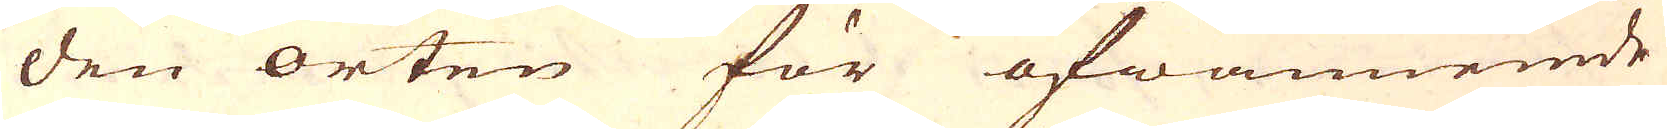den orten för ofwannemde
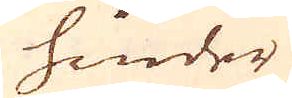hinder
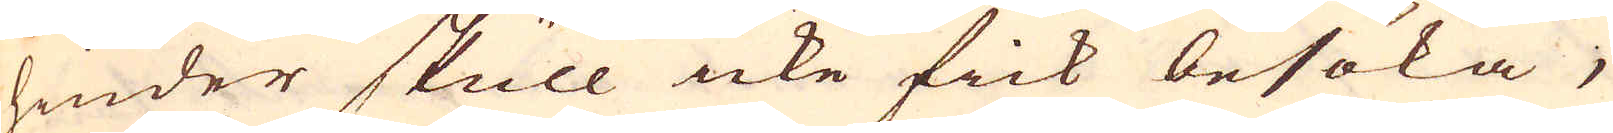hinder skull icke fick besöka;
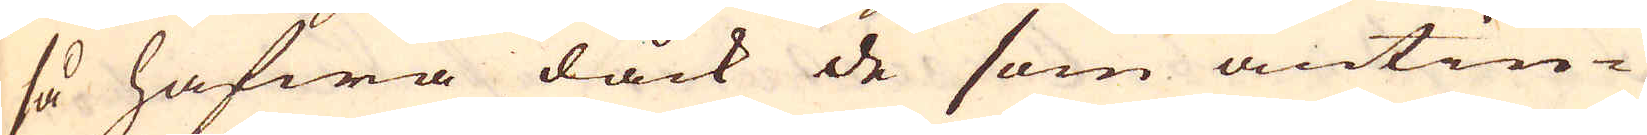så hafwa dåck de som antin-
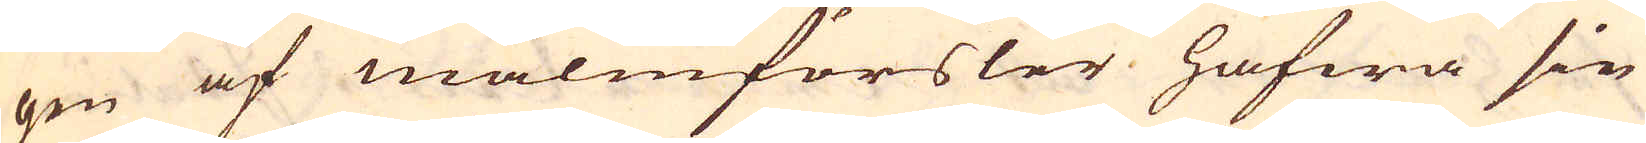gen af malmförsler hafwa sin
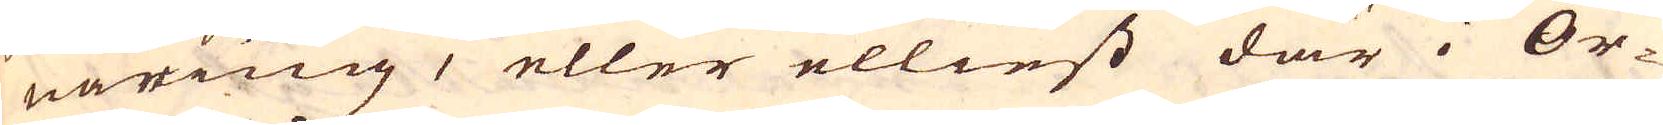näring, eller elliest där i Or-
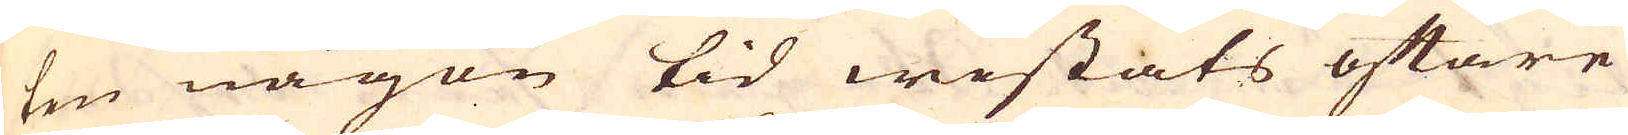ten någon tid wistats oftare
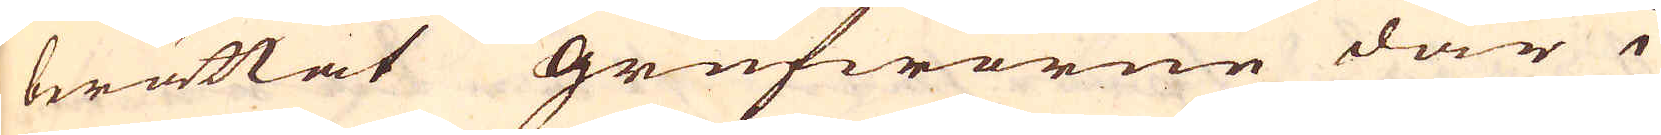berättat grufworne där i
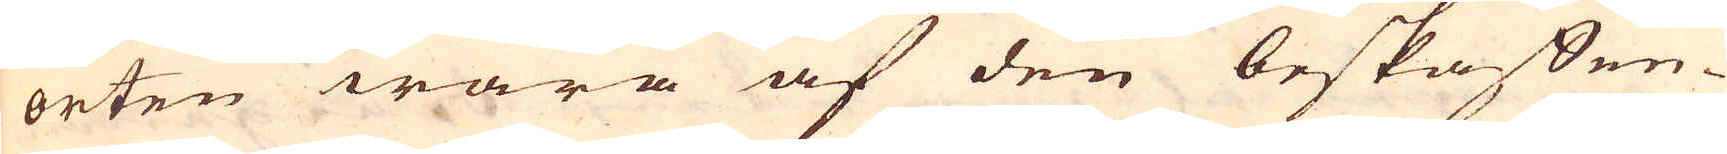orten wara af den beskaffen-
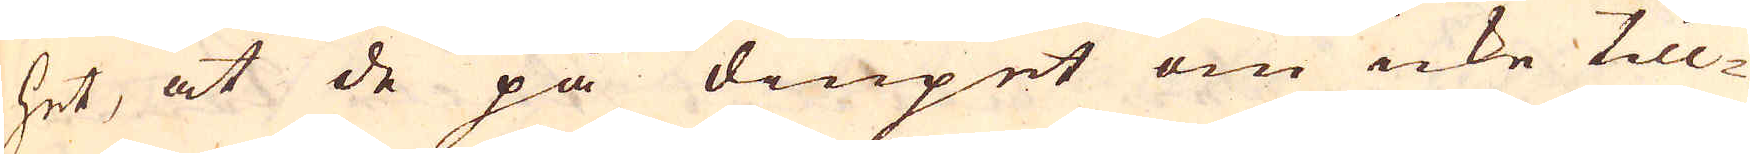het, at de på diupet om icke till-
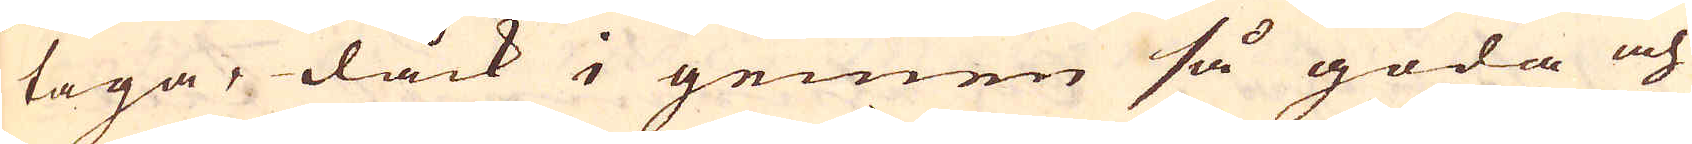taga, dåck i gemen så goda och
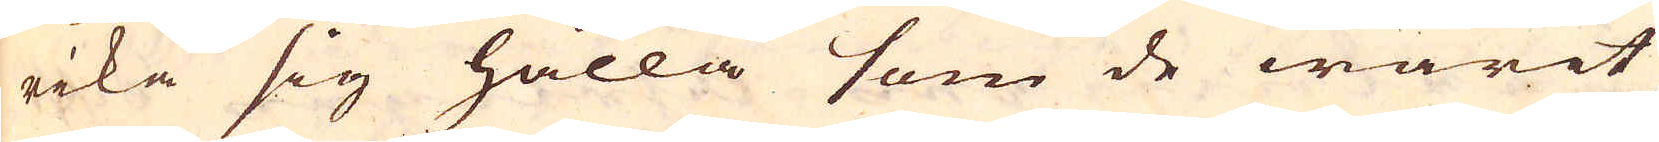rika sig hålla som de warit
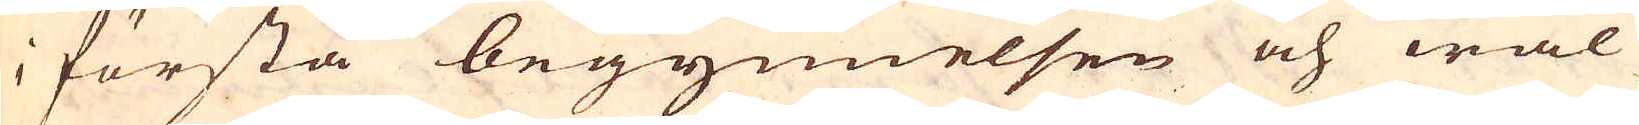i första begynnelsen och wäl
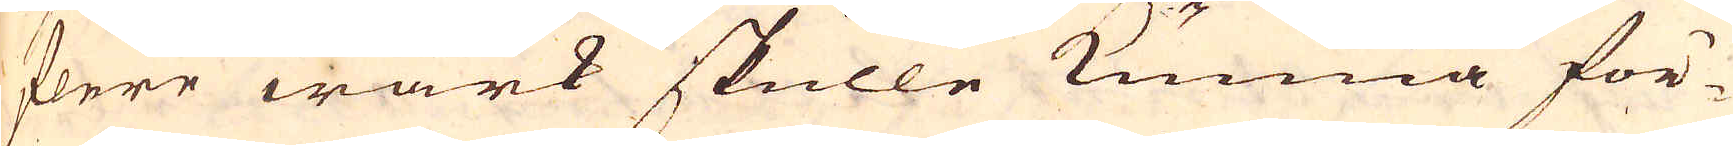flere wärk skulle kunna för-
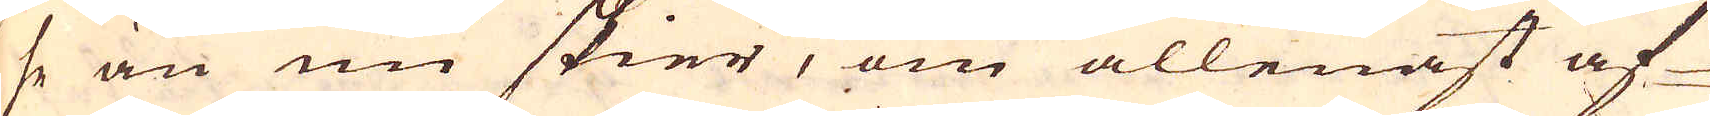se än nu skier, om allenast af-
